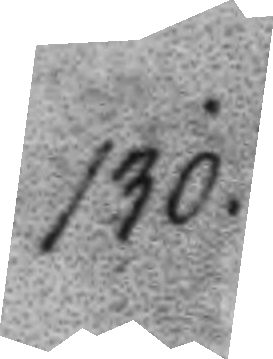130.
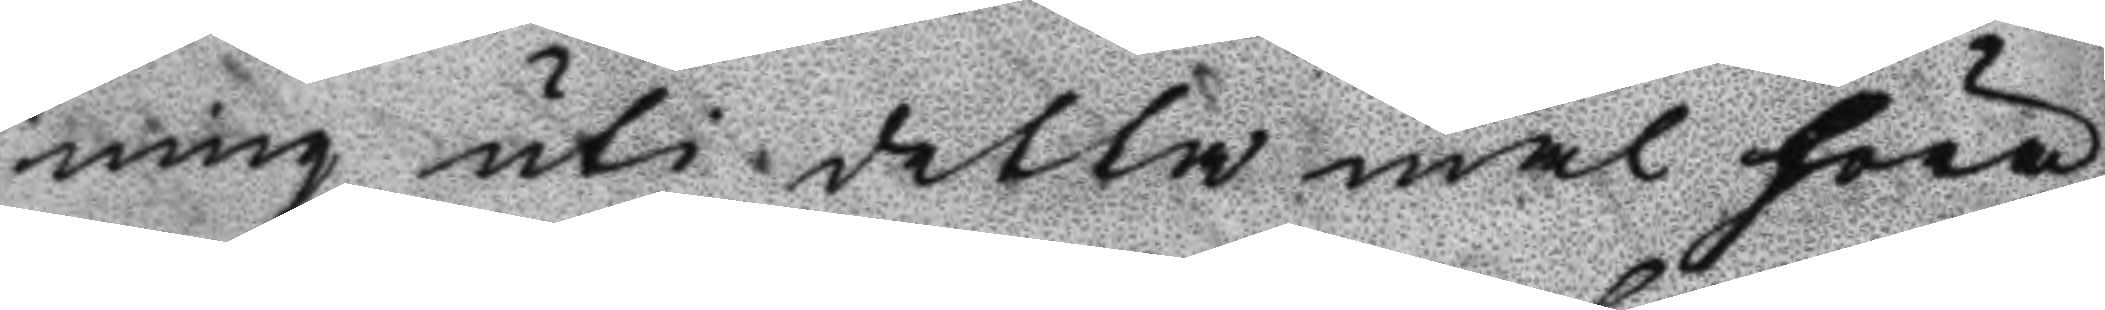ning uti detta mål höra
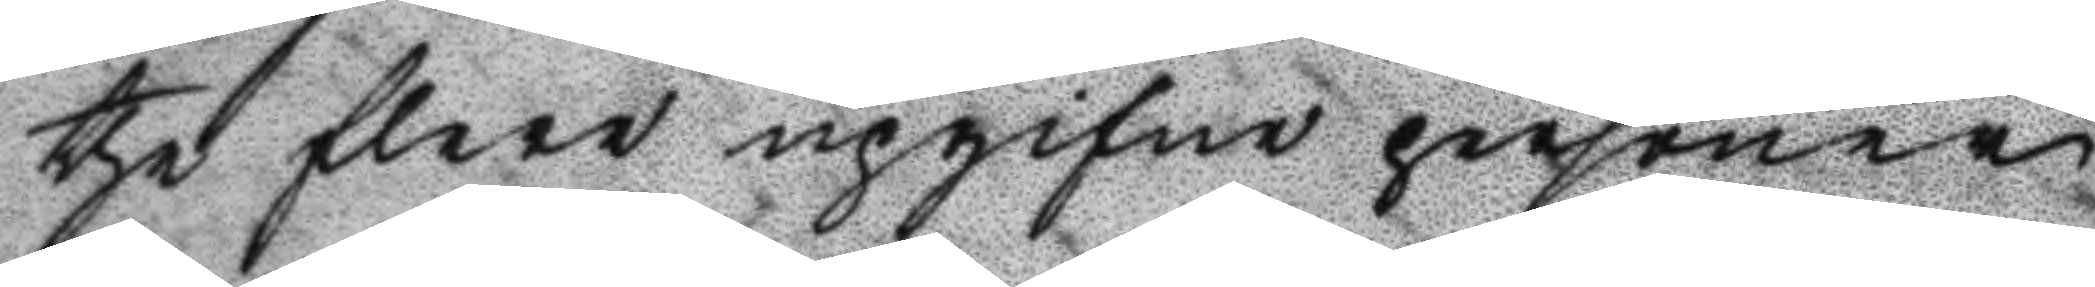the flere upgifne personer
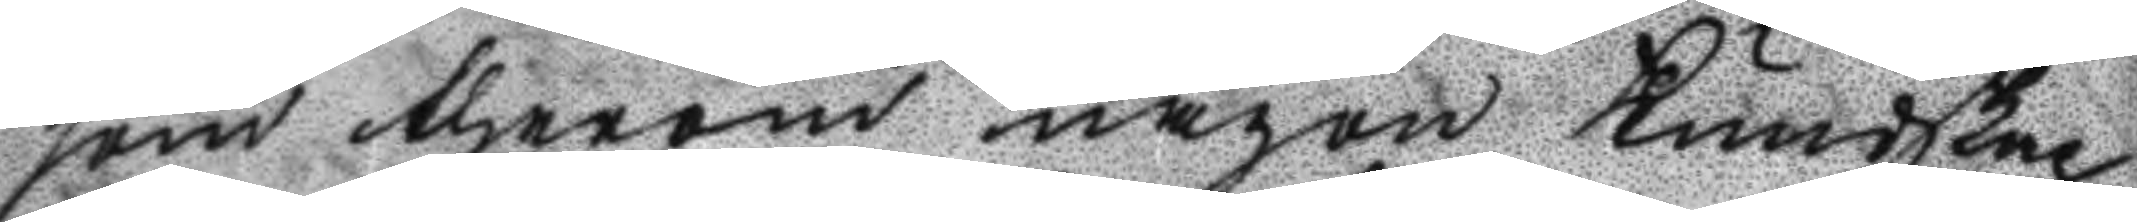som therom någon Kundskap
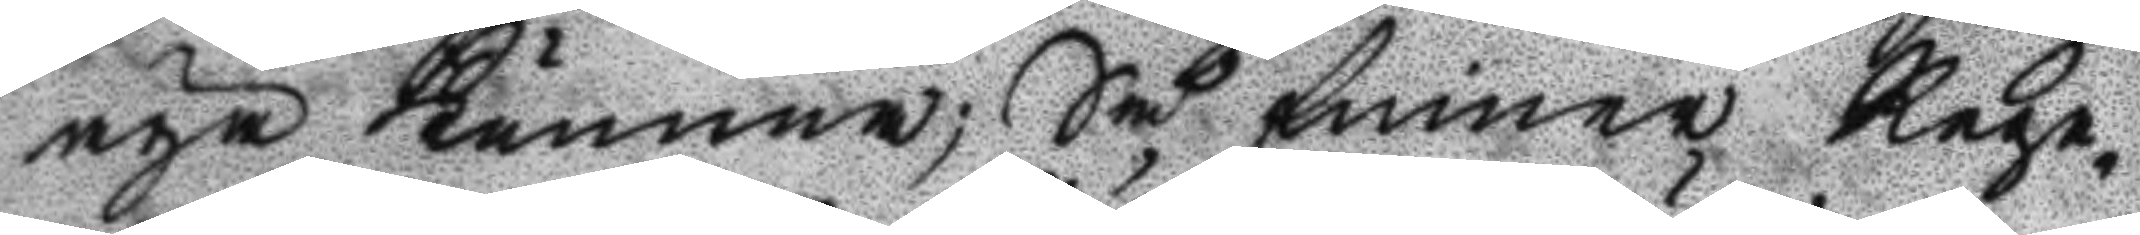äga Kunna; Så finner Rege¬
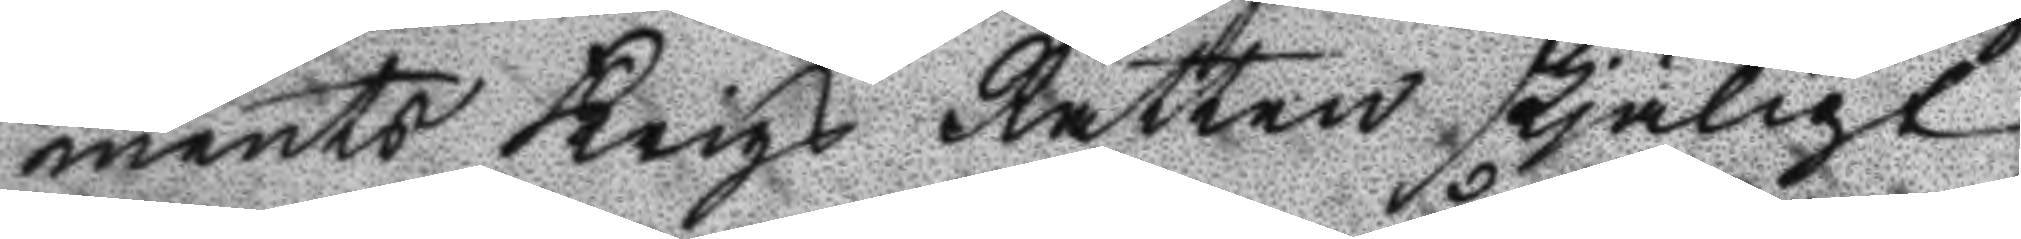ments Krigs Rätten skjäligt
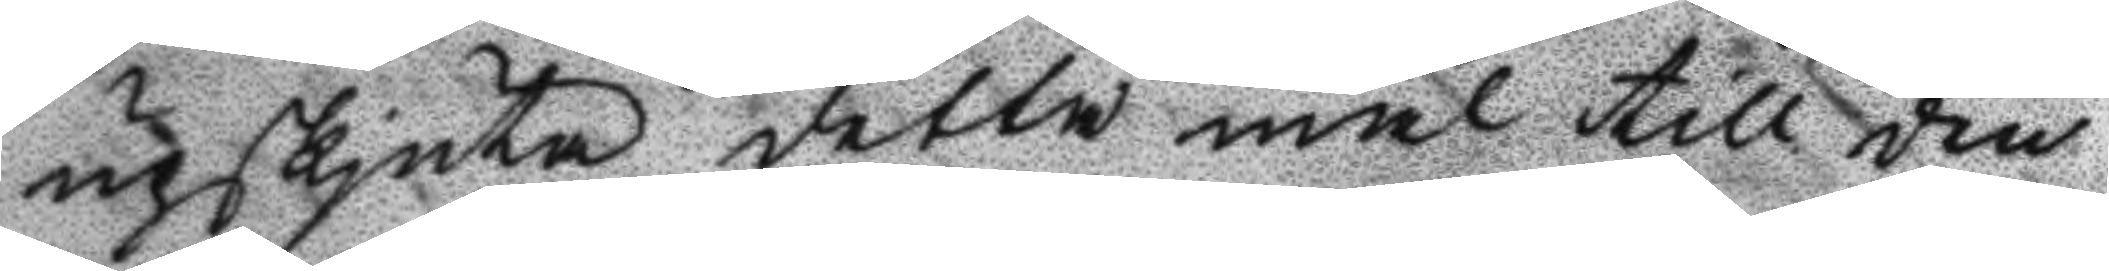upskjuta detta mål till den
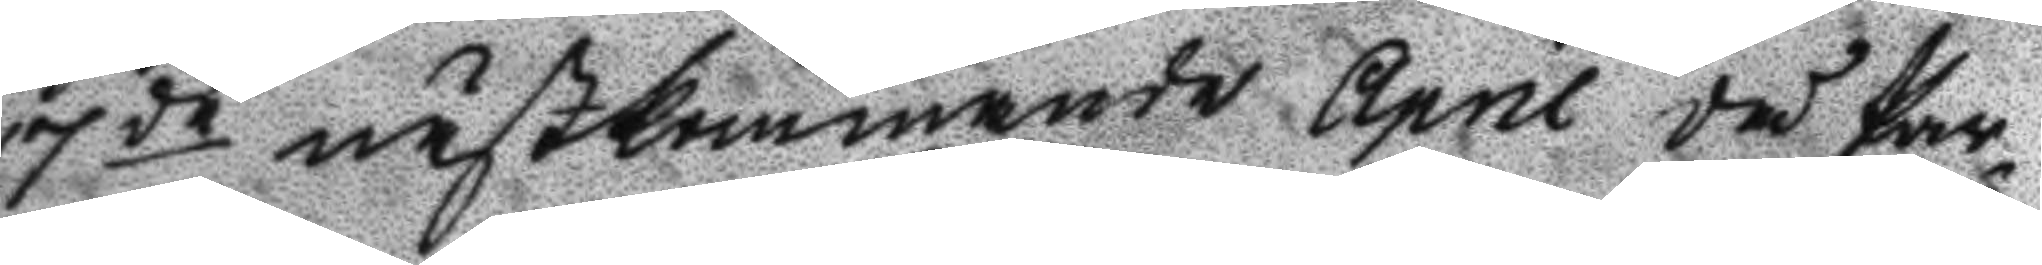17de nästkommande April då Par¬
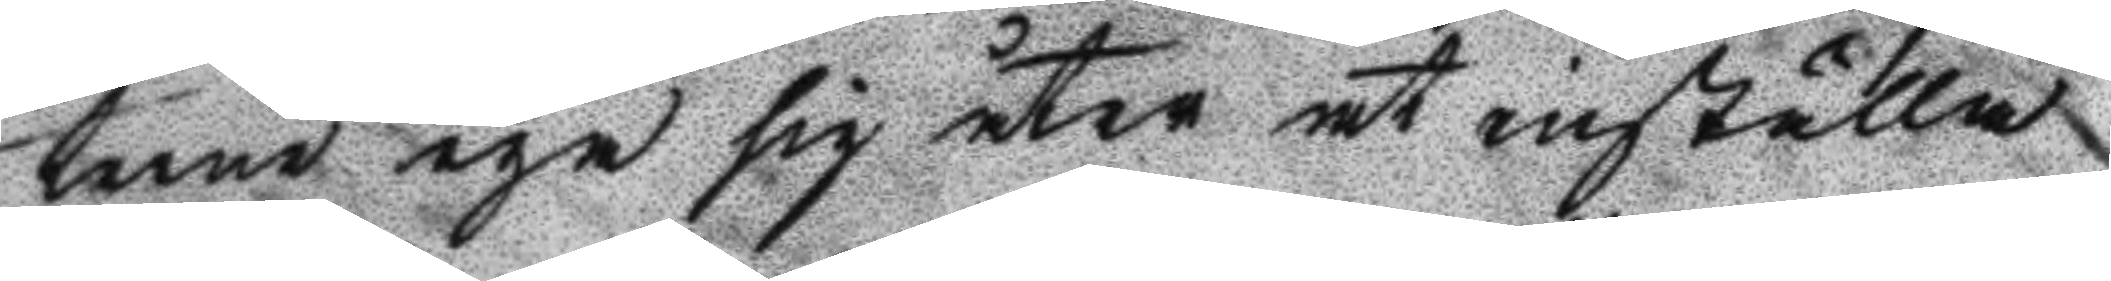terne ega sig åter at inställa
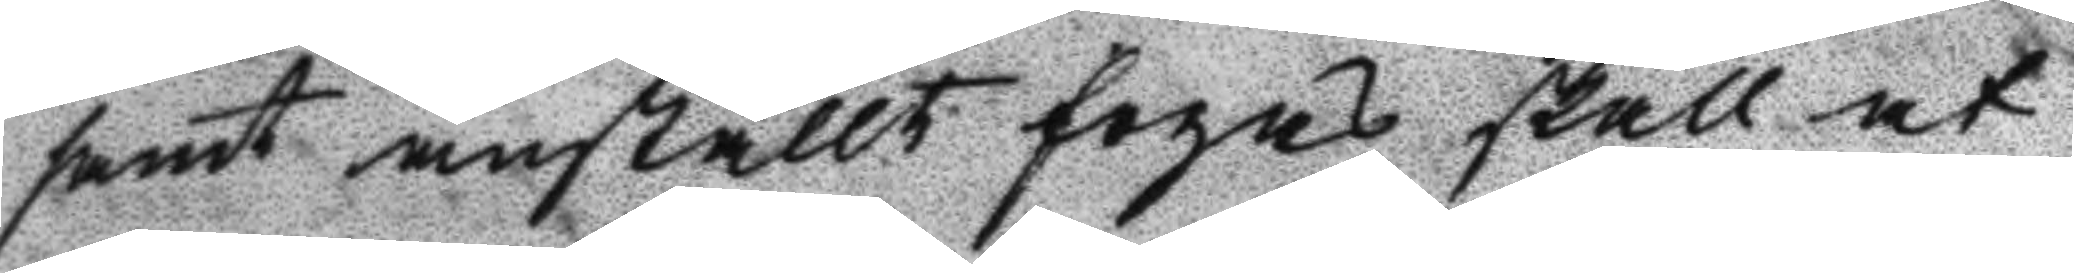samt anstallt fogas skall at
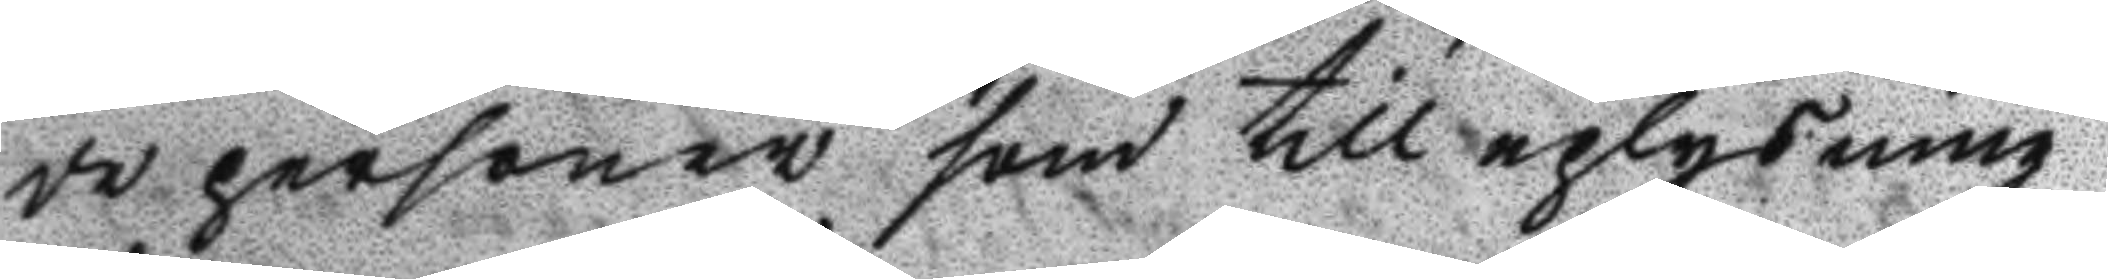de personer som till uplysning
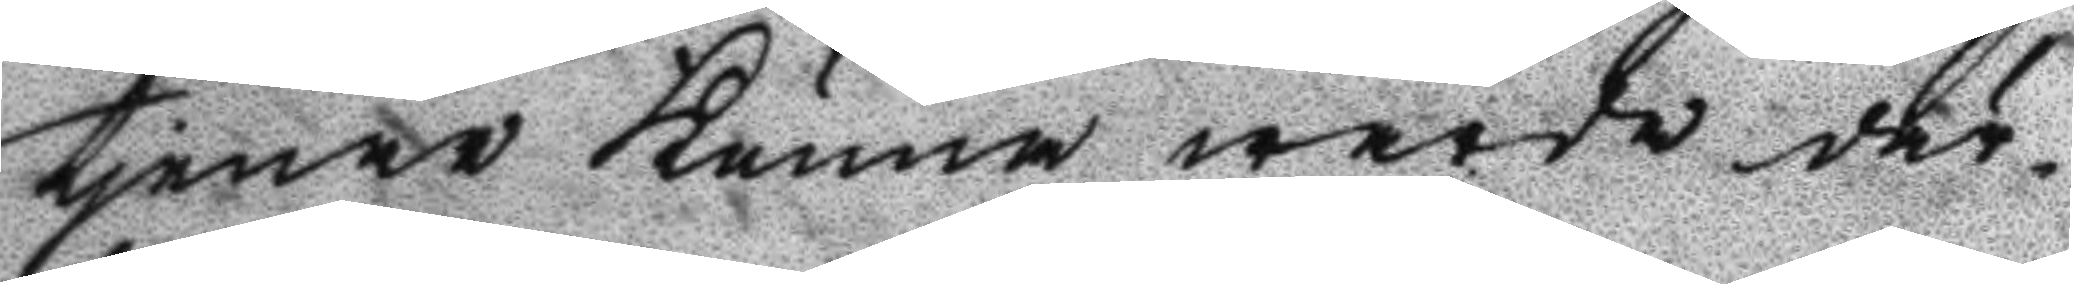tjenar Kunna warda där¬
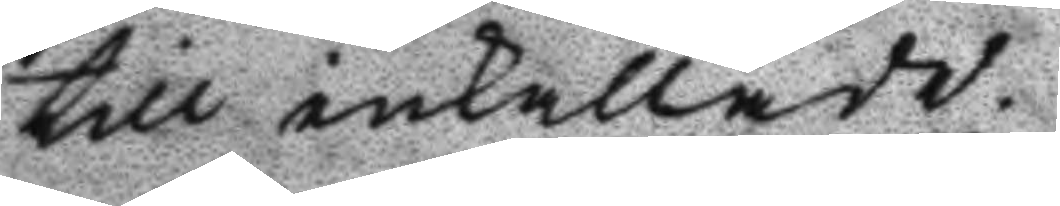till inkallade.
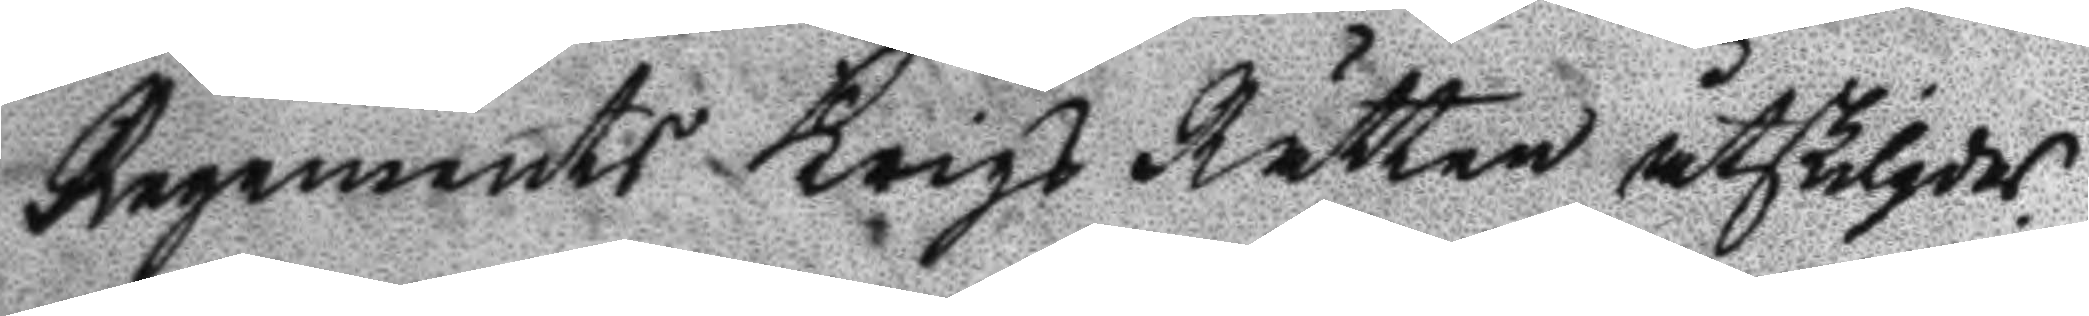Regements Krigs Rätten åtskilgdes.
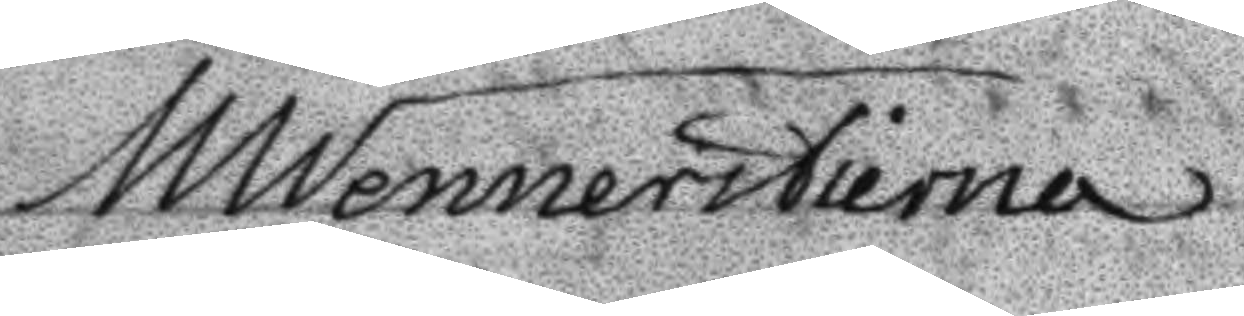MWennerstierna
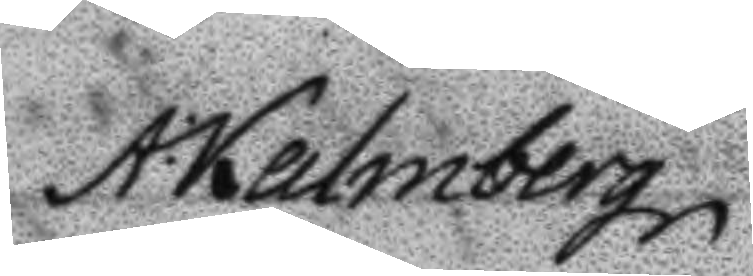A: Kalmberg
